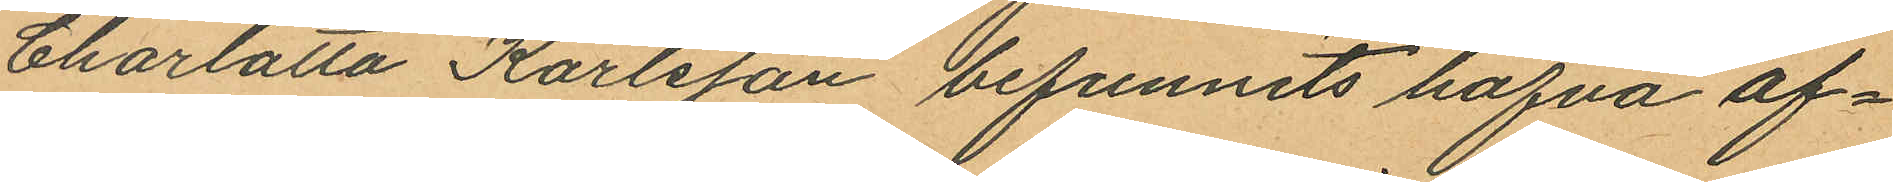Charlotta Karlsson befunnits hafva af¬
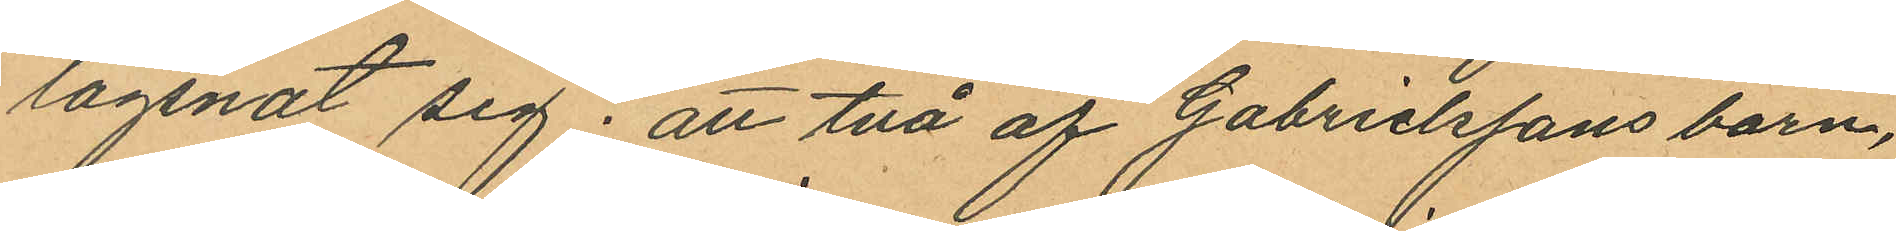lägsnat sig; att två af Gabrielssons barn,
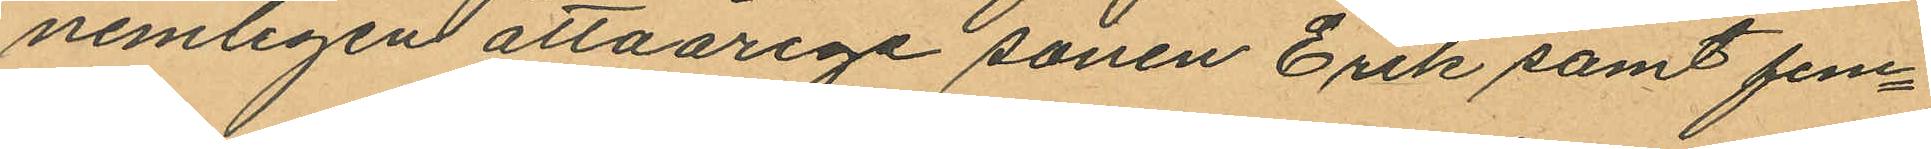nemligen åttaårige sonen Erik samt fem¬
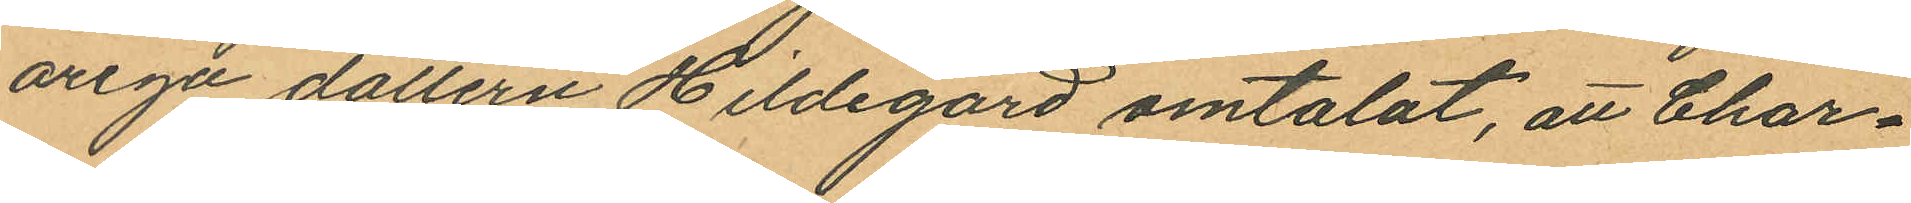åriga dottern Hildegard omtalat, att Char¬
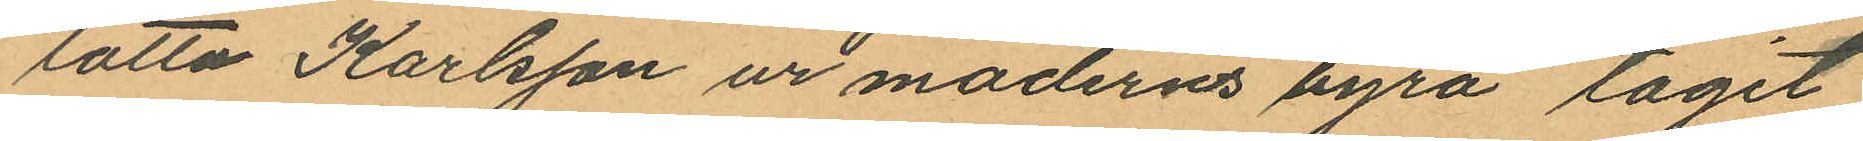lotta Karlsson ur moderns byrå tagit
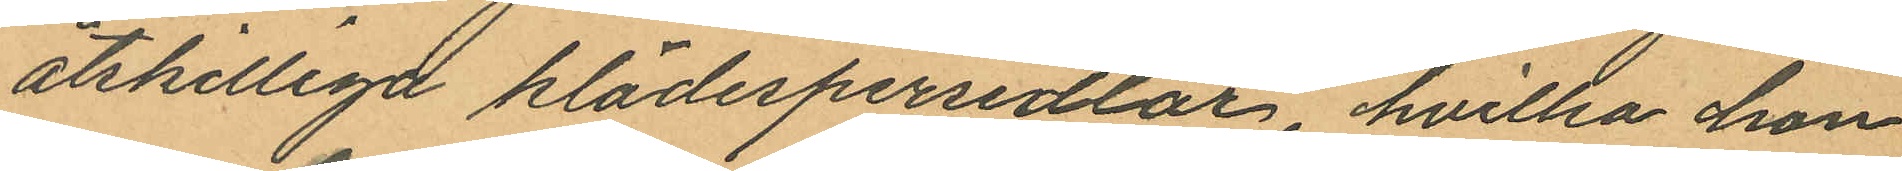åtskilliga klädespersedlar, hvilka hon
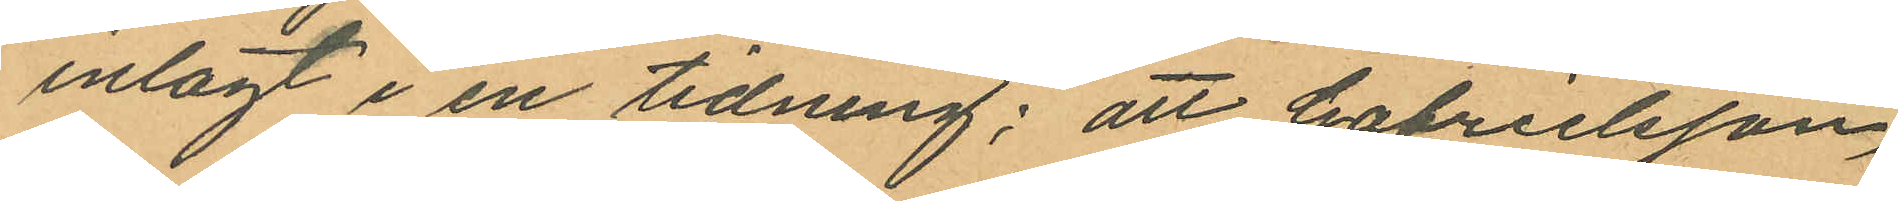inlagt i en tidning; att Gabrielsson,
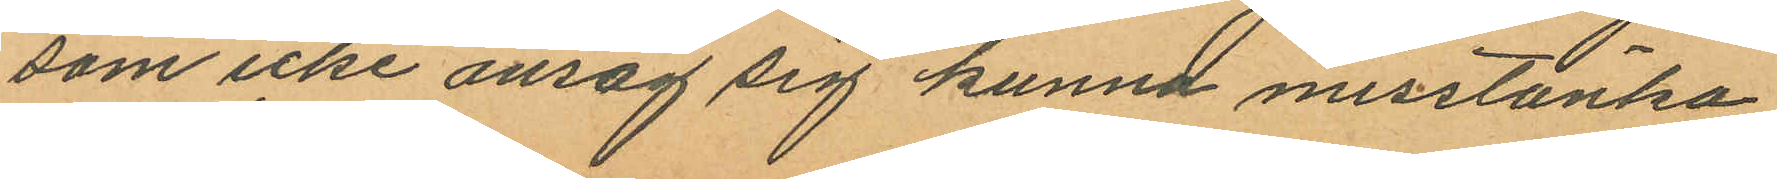som icke ansåg sig kunna misstänka
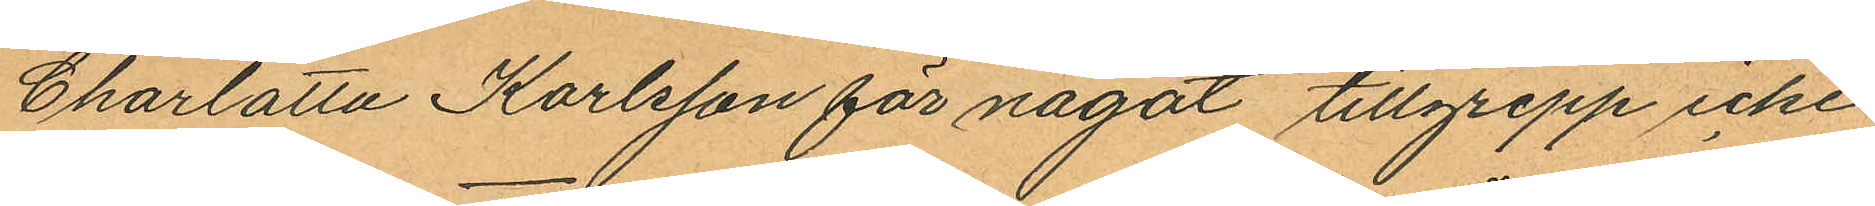Charlotta Karlsson för något tillgrepp icke
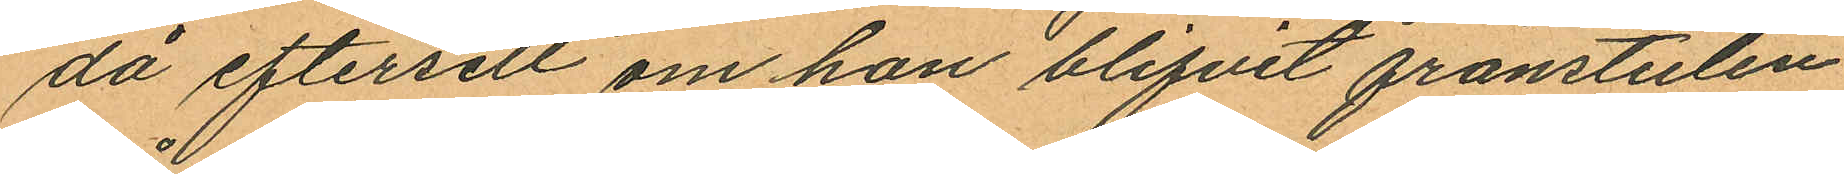da eftersett om hon blifvit frånstulen
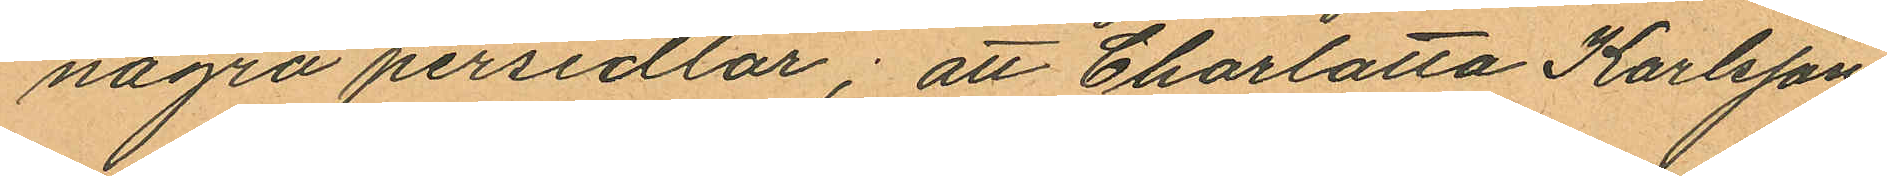några persedlar; att Charlotta Karlsson
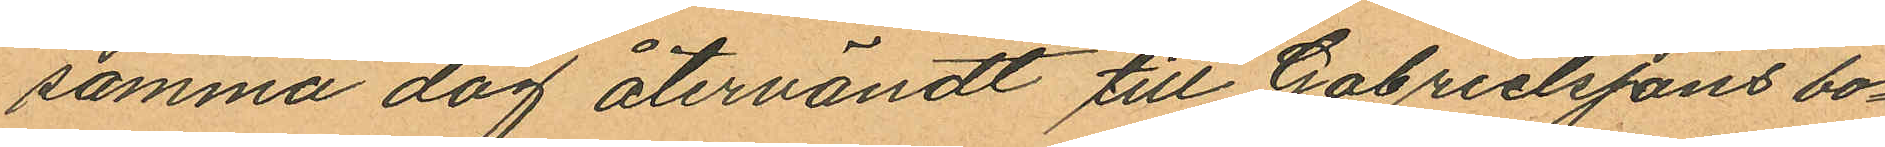samma dag återvändt till Gabrielssons bo¬
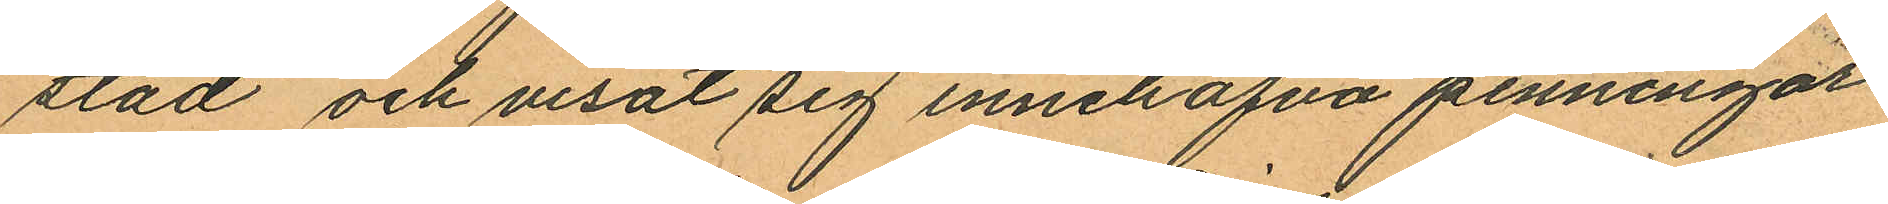stad och visat sig innehafva penningar
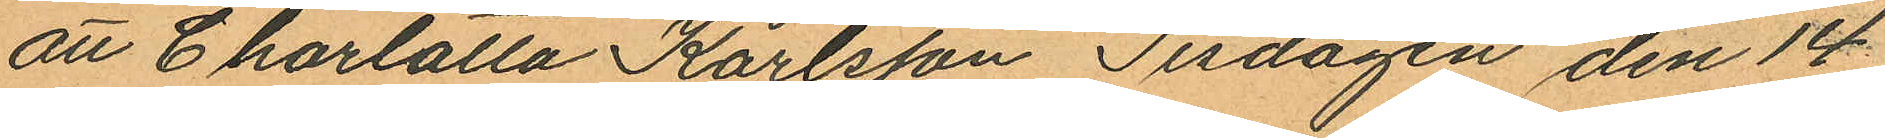att Charlotta Karlsson Tisdagen den 14
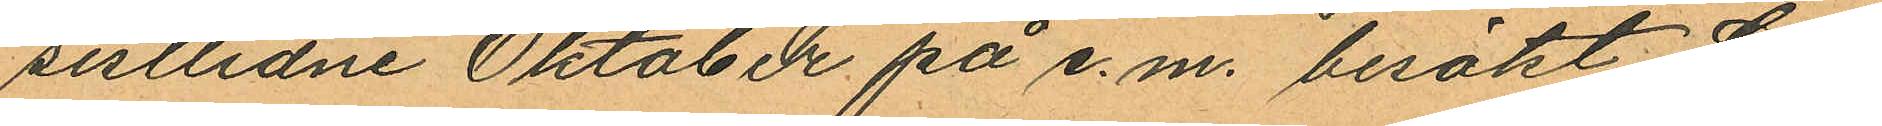sistlidne Oktober på e.m. besökt Ga¬
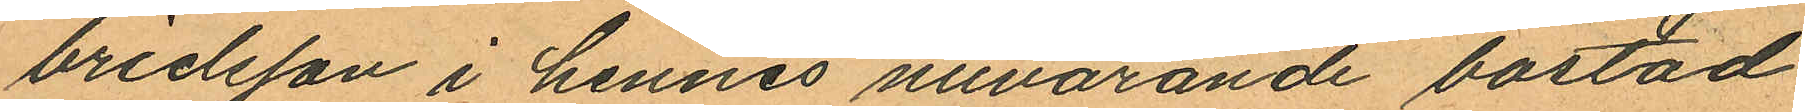brielsson i hennes nuvarande bostad
